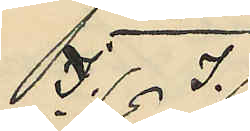J. J.
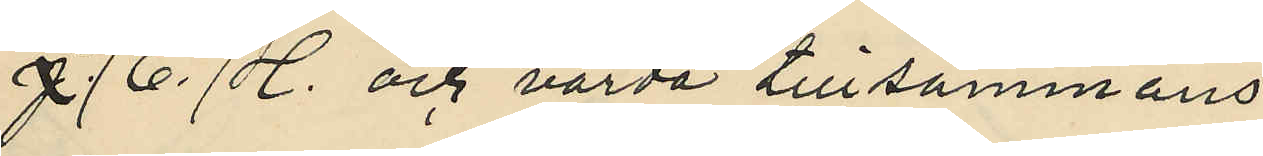J. E. H. och värda tillsammans
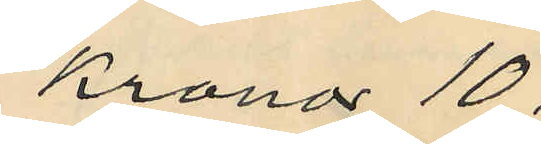Kronor 10:
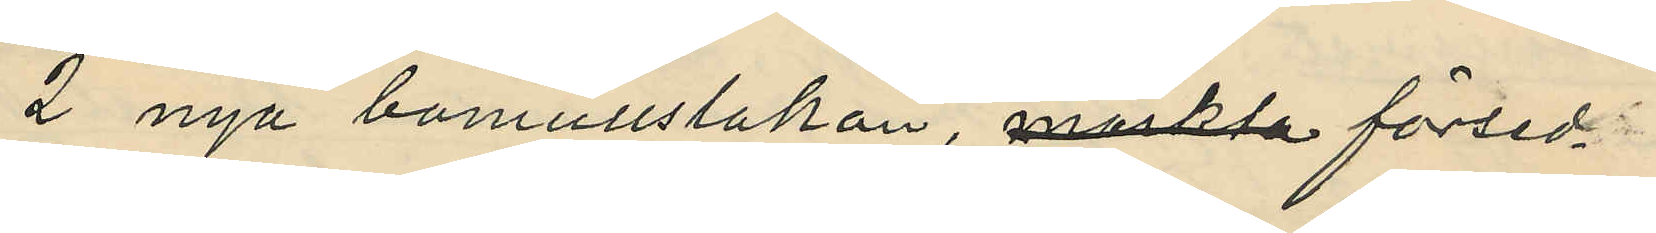2 nya bomullslakan, märkta försed¬
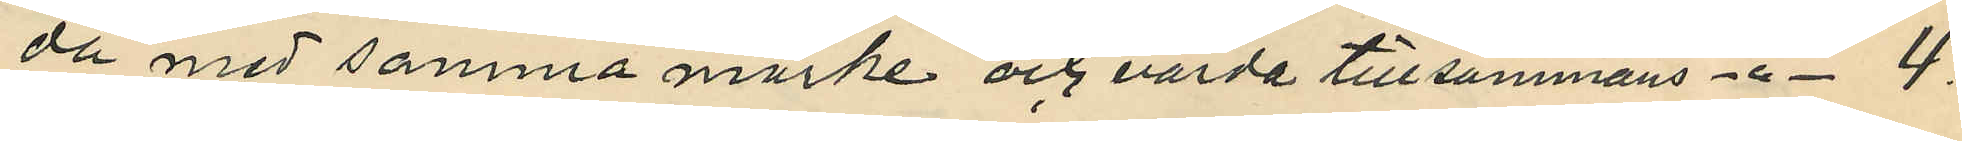da med samma märke och värda tillsammans -"- 4:
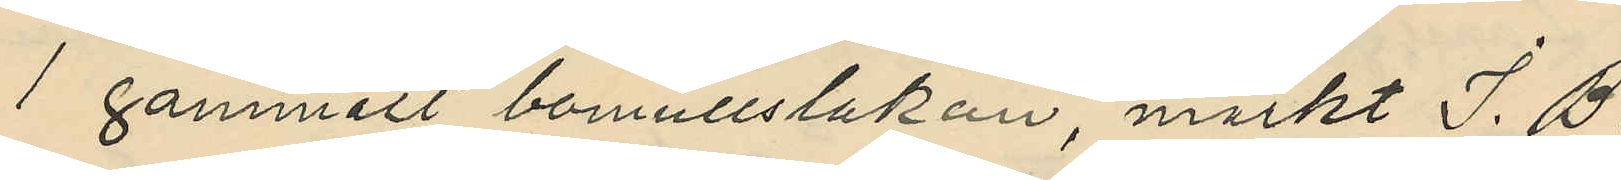1 gammalt bomullslakan, märkt J. B.
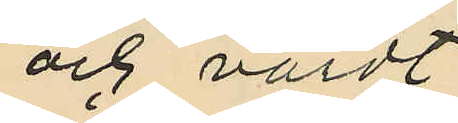och värdt
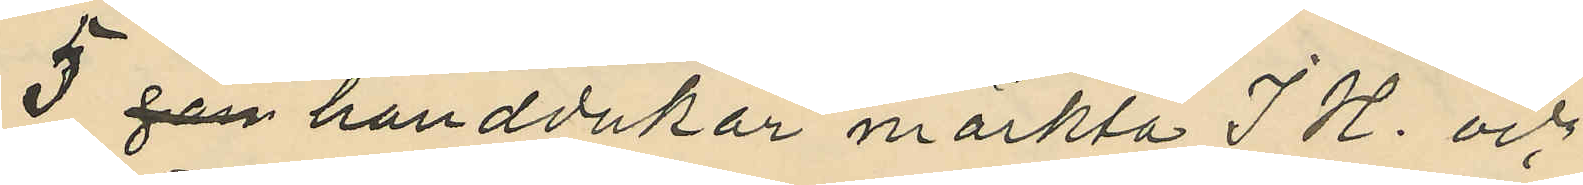3 par handdukar märkta J H. och
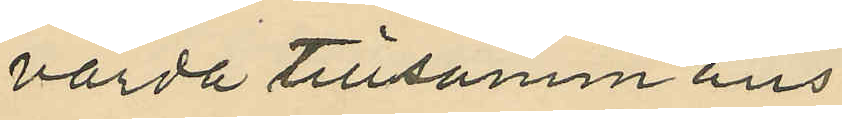värda tillsammans
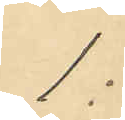1:
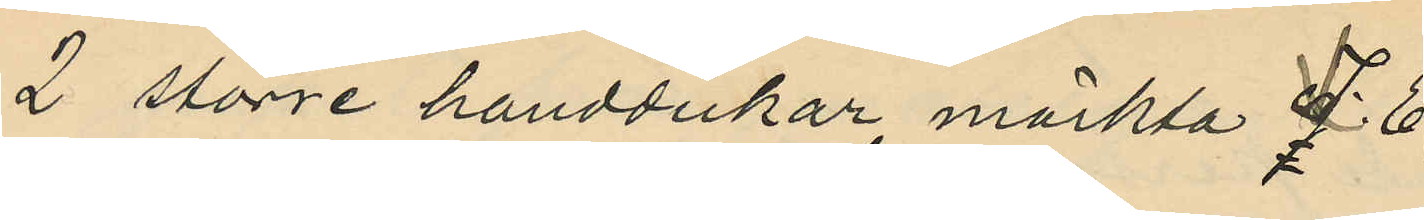2 större handdukar, märkta E
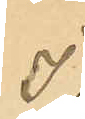J
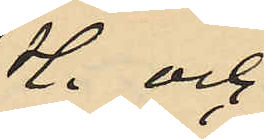H. och
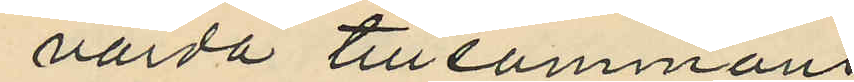värda tillsammans
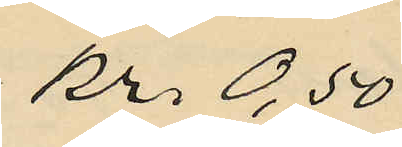Kr. 0,50
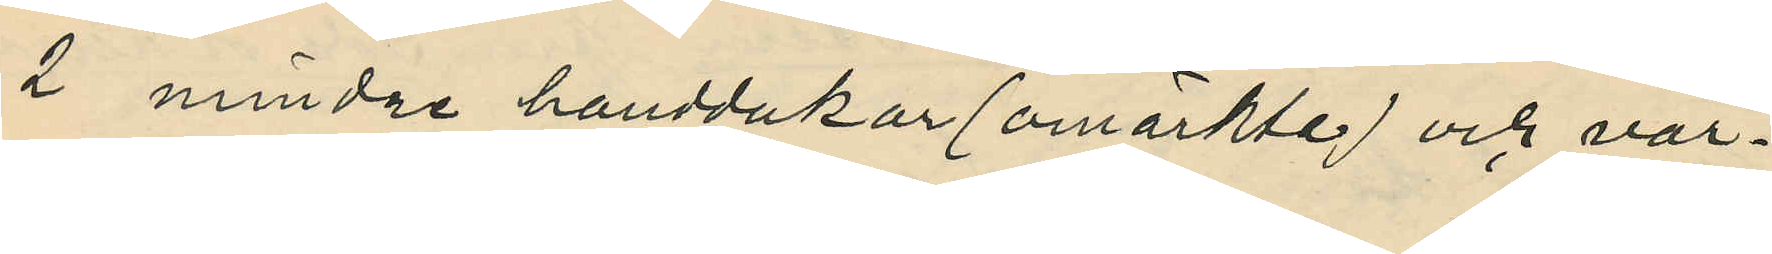2 mindre handdukar (omärkte) och vär¬
